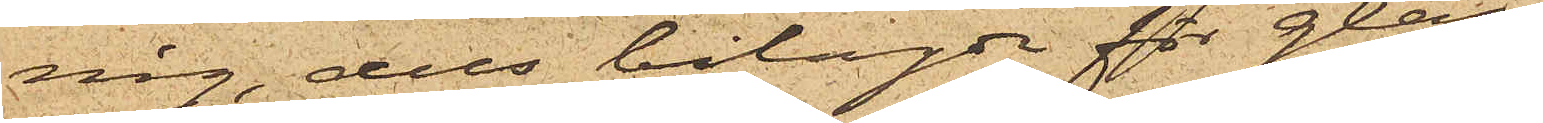nig, dels bilagde för glas¬
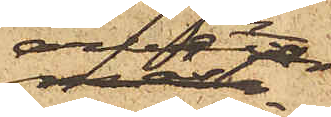arbetar¬
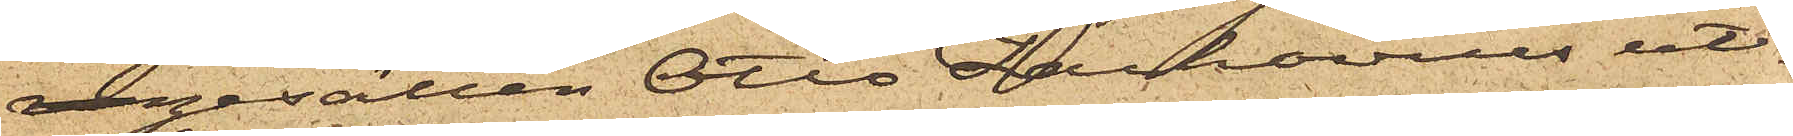rengesällen Otto Zachovius ut¬
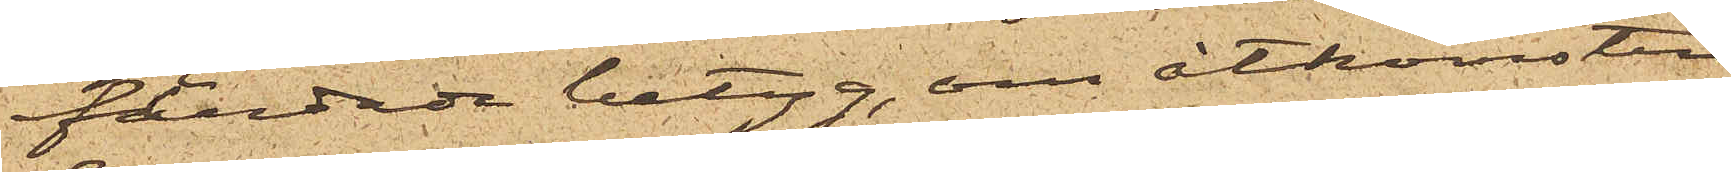färdade betyg, om åtkomsten
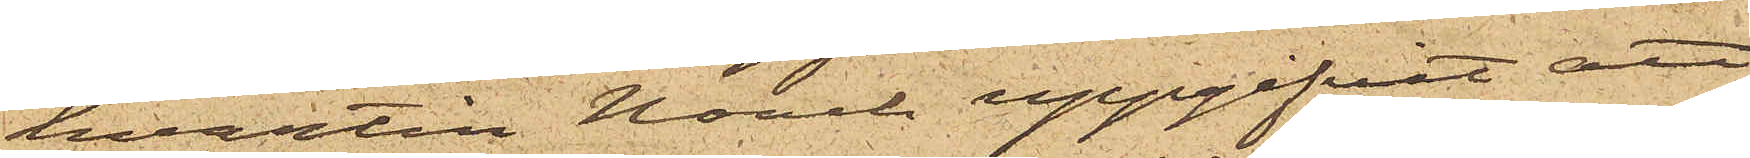hvartill Noach uppgifvit, att
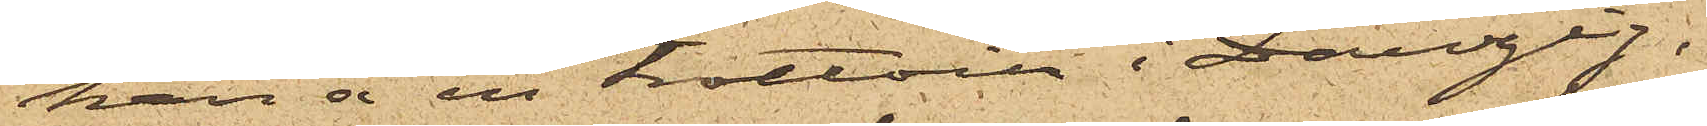han å en trottoir i Danzig,
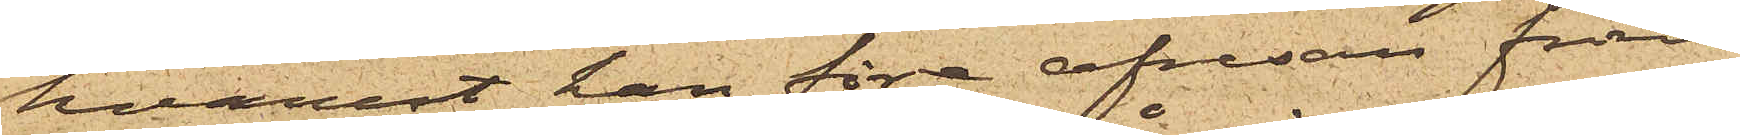hvarest han före afresan från
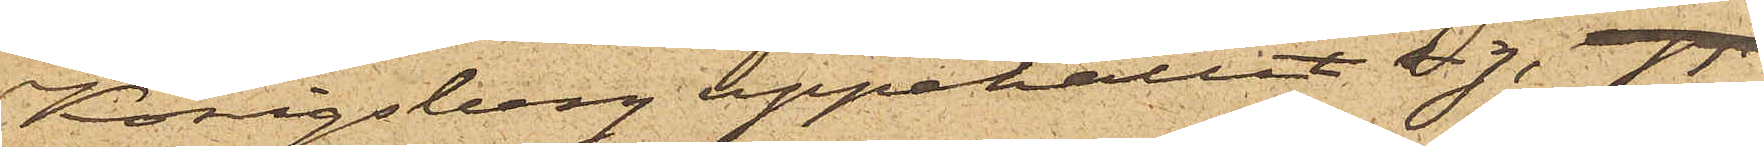Königsberg uppehållit sig, upp¬
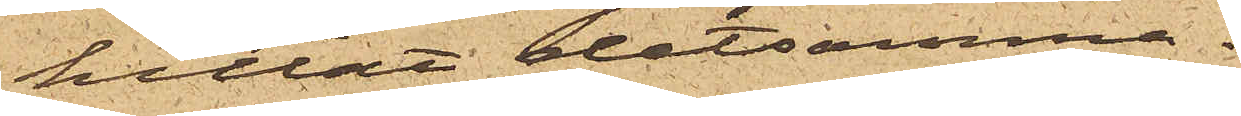hittat detsamma.
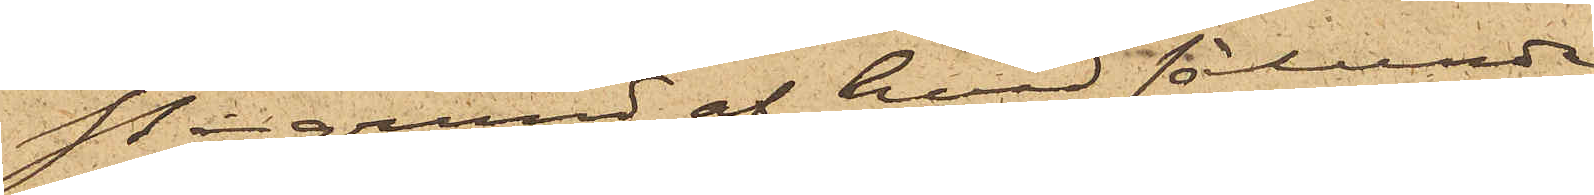På grund af hvad sålunda
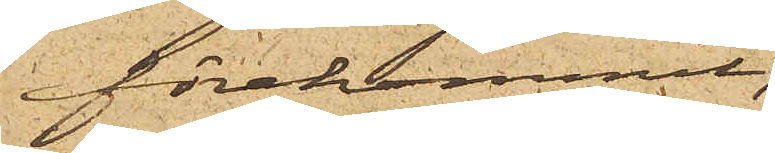förekommit,
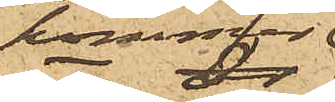kommer
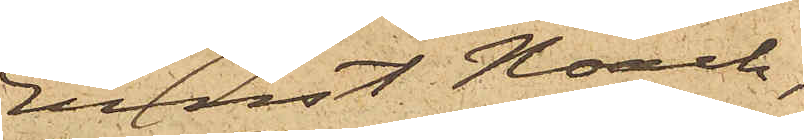Ernst Noach,
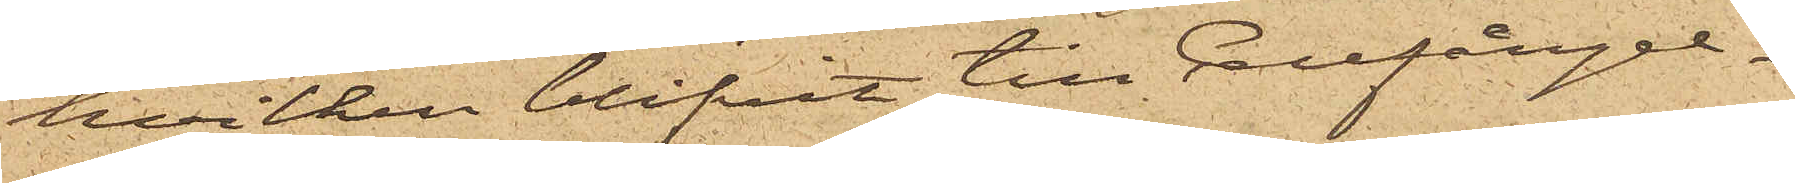hvilken blifvit till Cellfängel¬
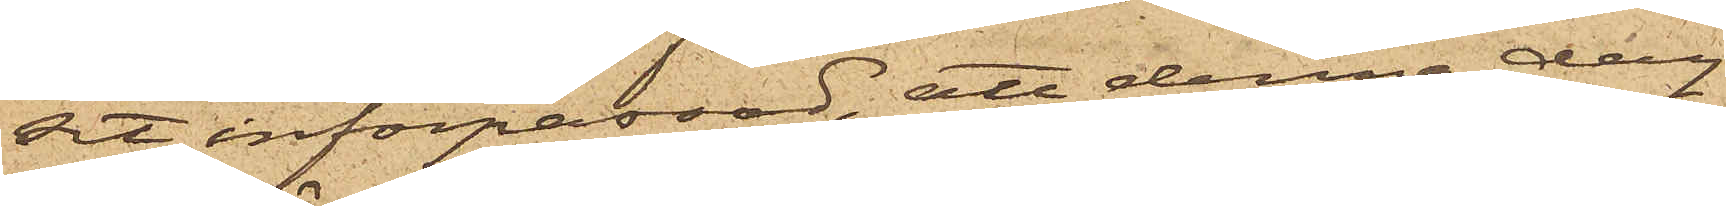dit införpassad, att denna dag
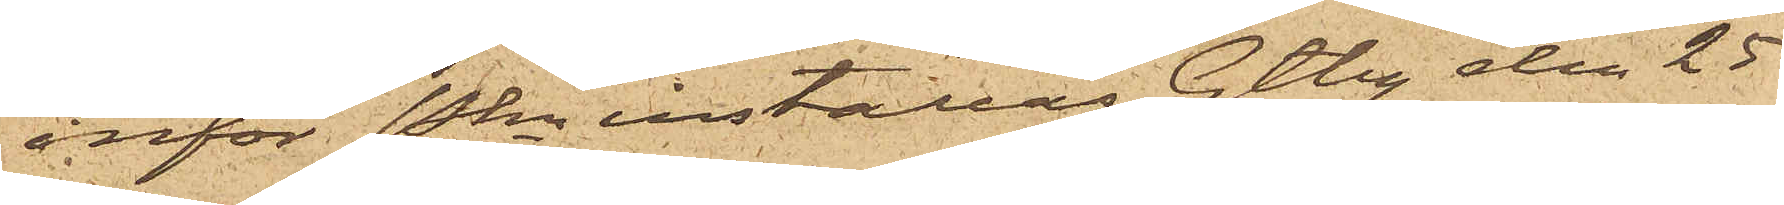inför Pkn inställas. Gtbg den 25
